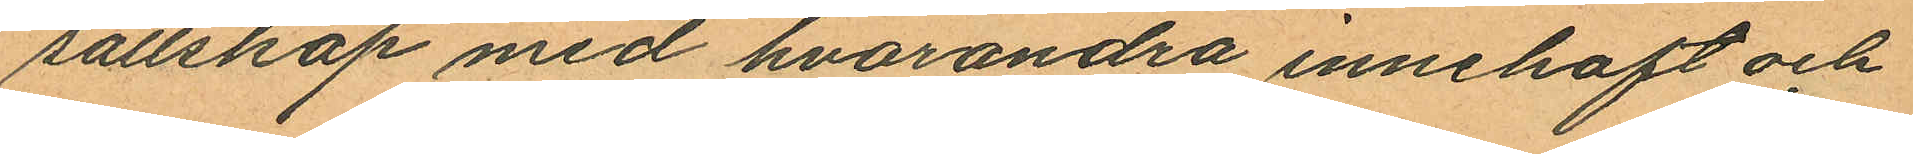sällskap med hvarandra innehaft och
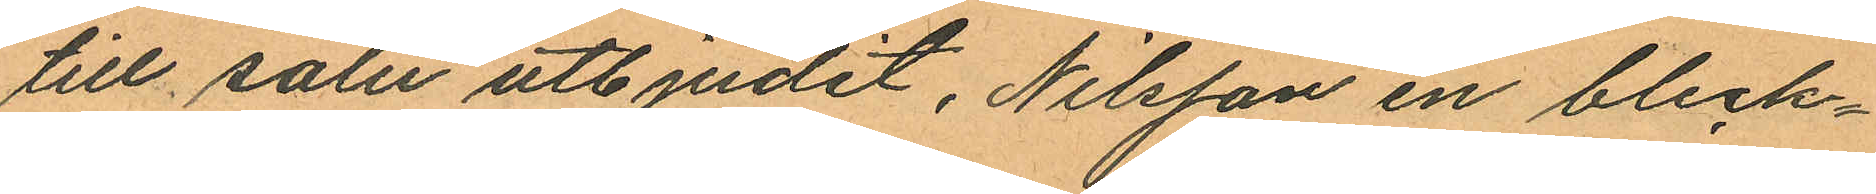till salu utbjudit, Nilsson en bleck¬
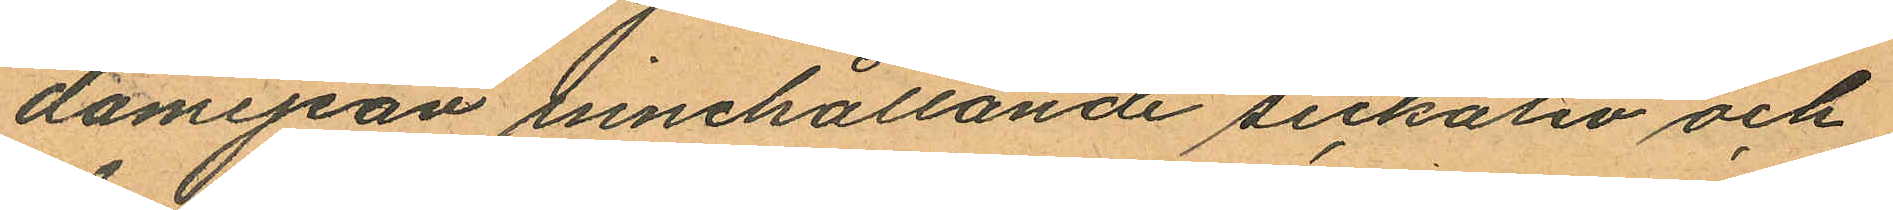damejean innehållande sickativ och
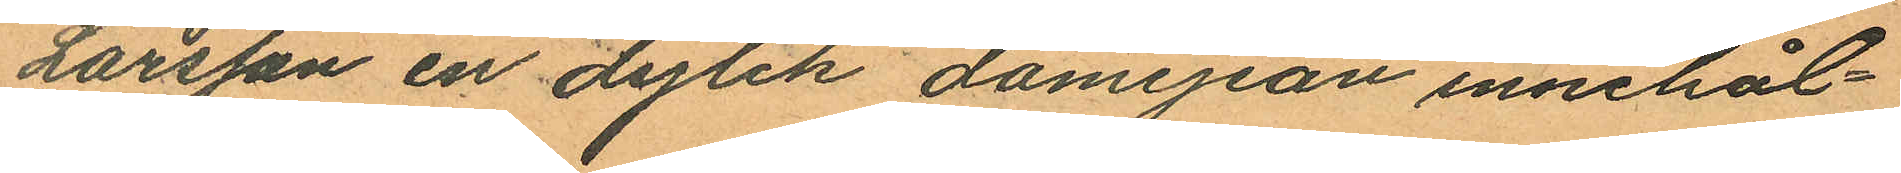Larsson en dylik damejean innehål¬
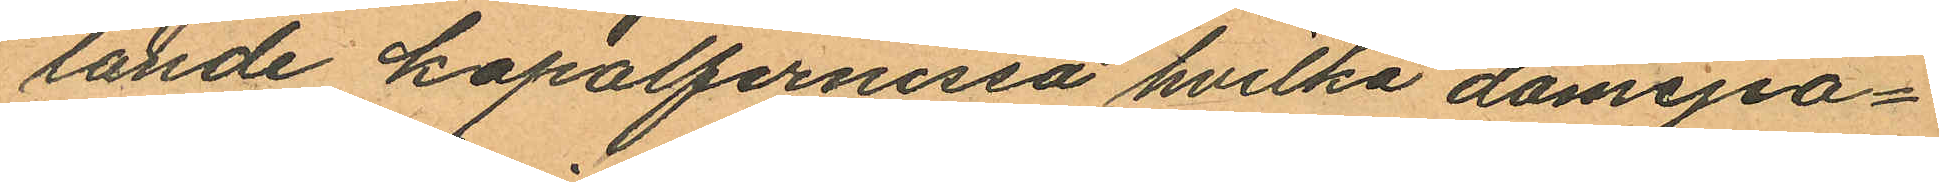sande kapalfernissa hvilka damejea¬
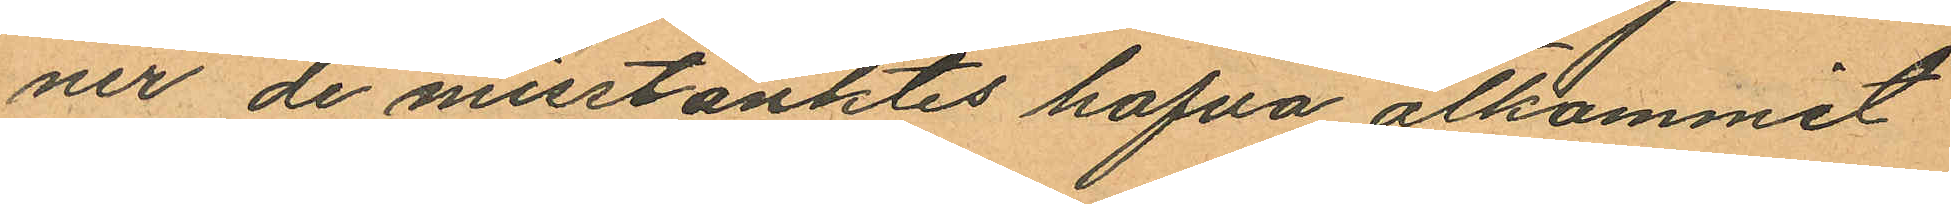ner de misstänktes hafva åtkommit
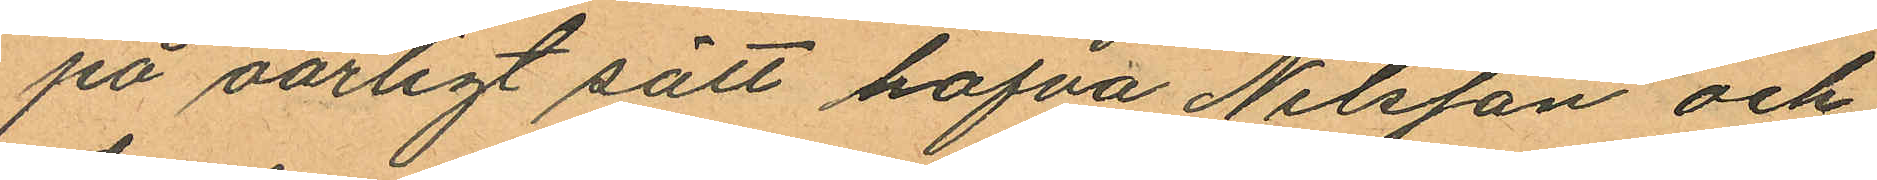på oärligt sätt hafva Nilsson och
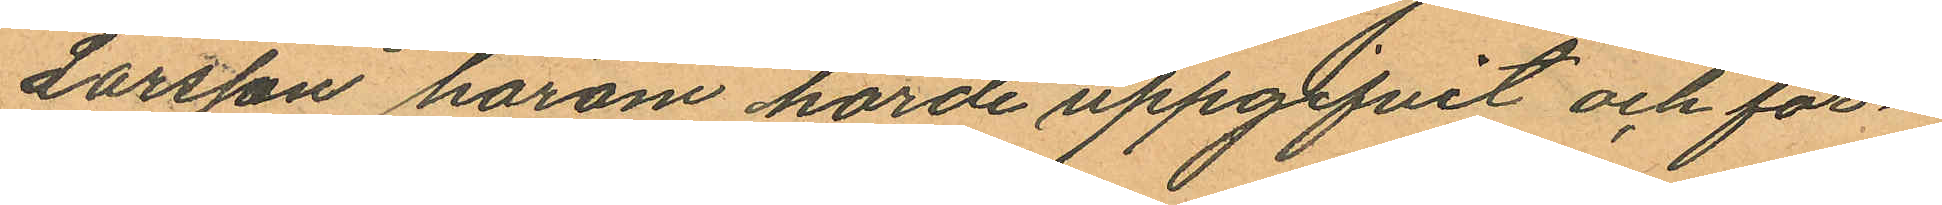Larsson härom hörde uppgifvit och för¬
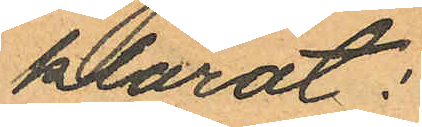klarat:
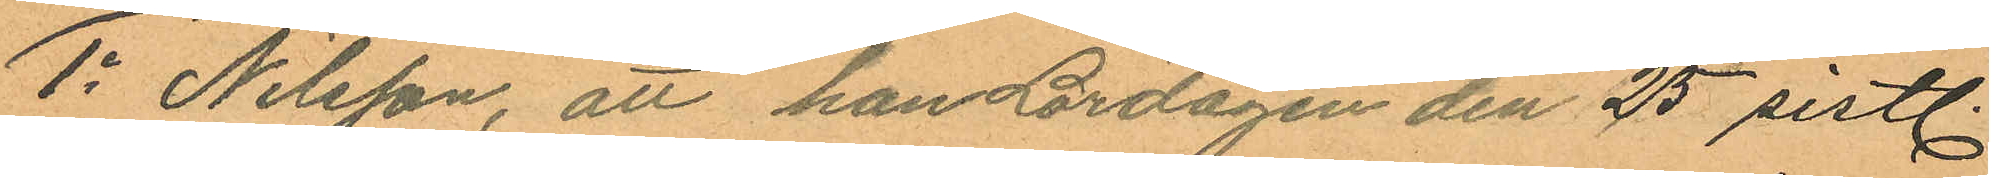1o Nilsson, att han Lördagen den 25 sistl.
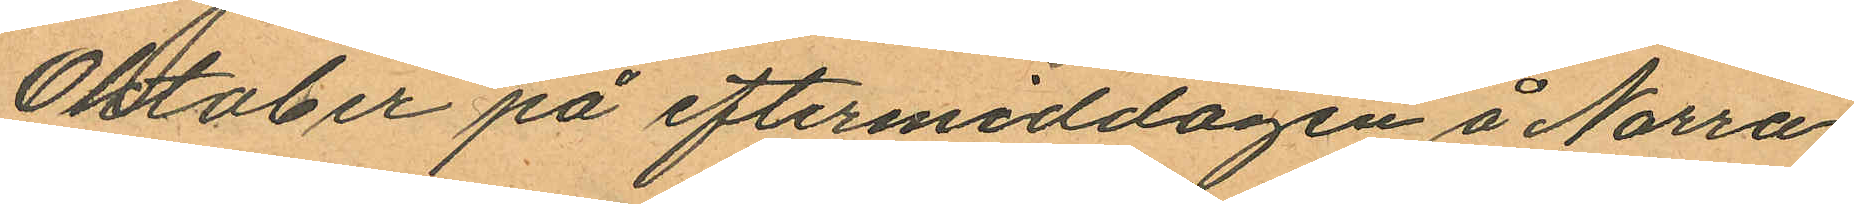Oktober på eftermiddagen å Norra
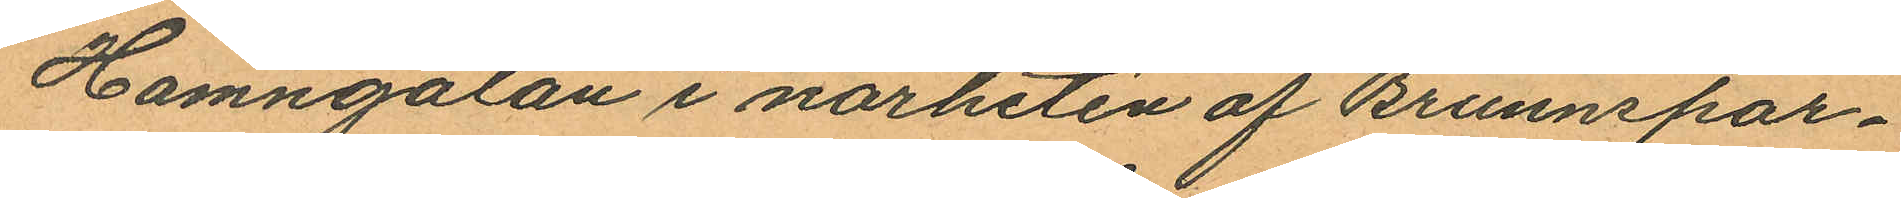Hamngatan i närheten af Brunnspar¬
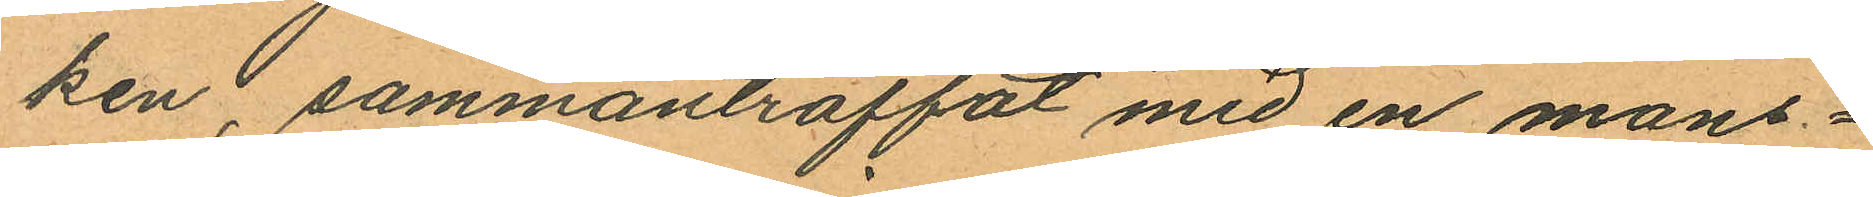ken, sammanträffat med en mans¬
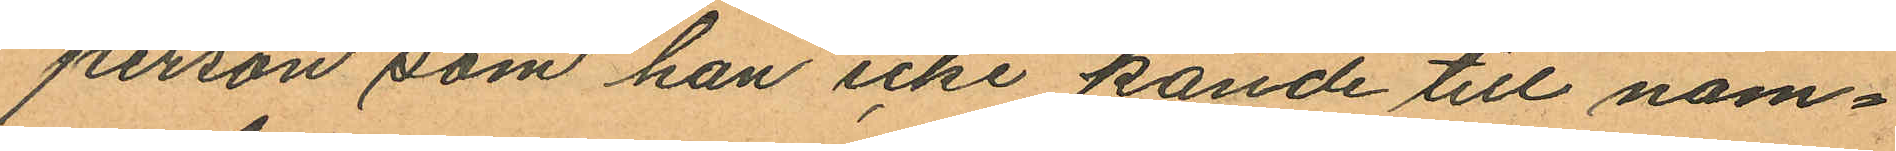person som han icke kände till nam¬
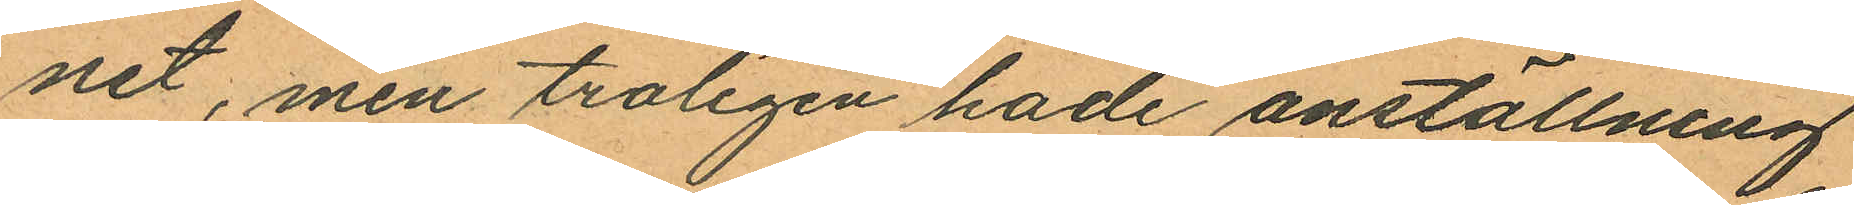net, men troligen hade anställning
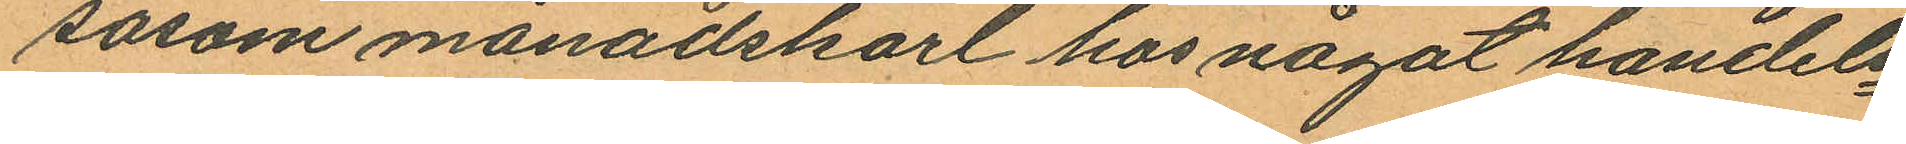såsom månadskarl hos något handels¬
